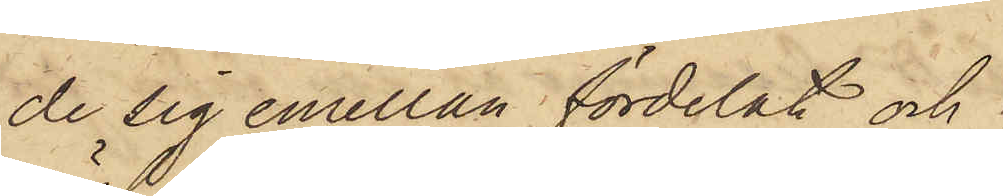de sig emellan fördelat och
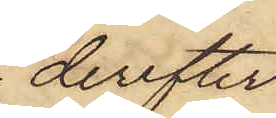derefter
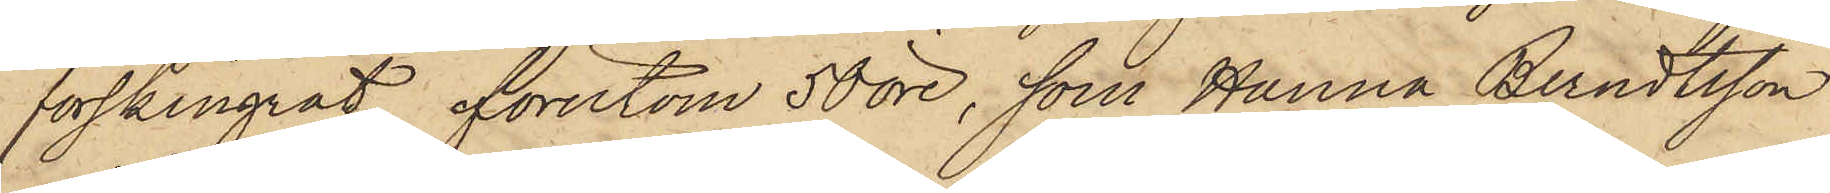förskingrat, förutom 50 öre, som Hanna Berndtsson
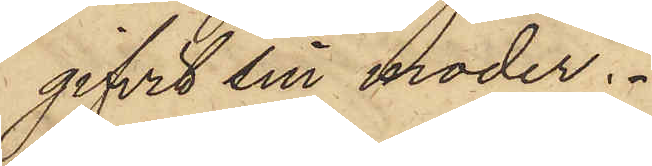gifvit sin moder.
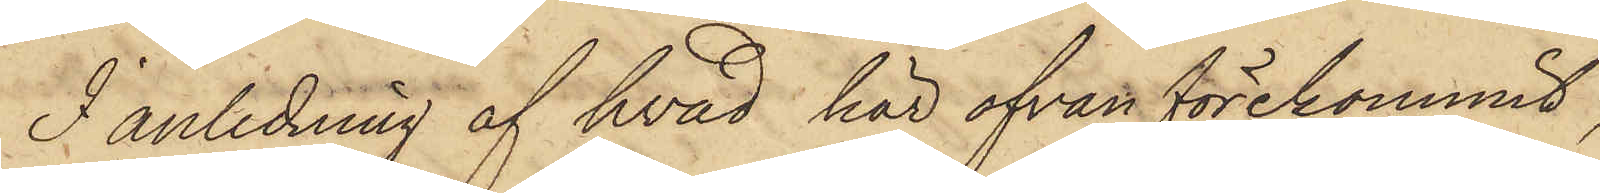I anledning af hvad här ofvan förekommit,
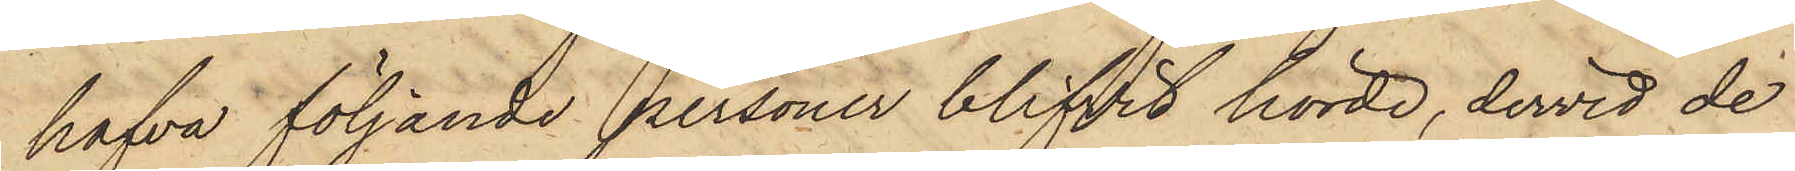hafva följande personer blifvit hörde, dervid de
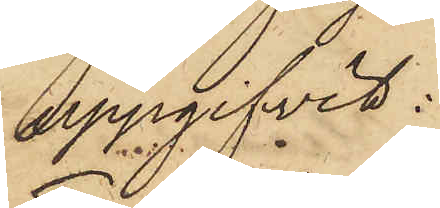uppgifvit:
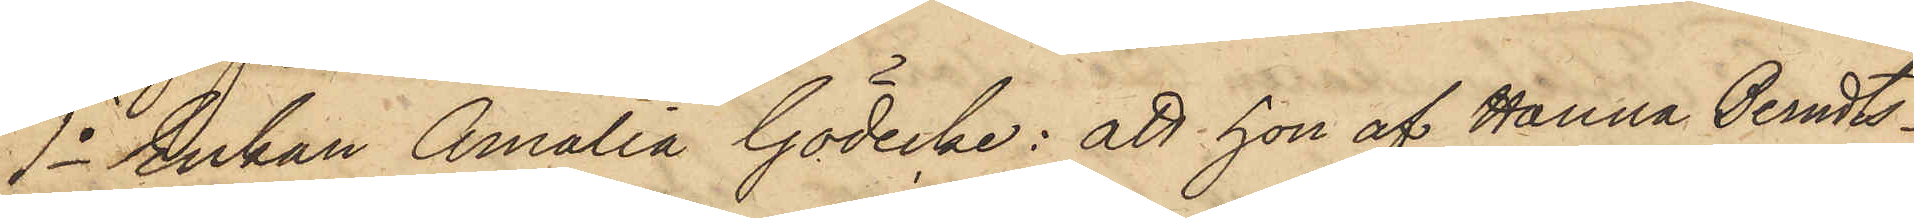1o Enkan Amalia Gödecke: att hon af Hanna Berndts¬
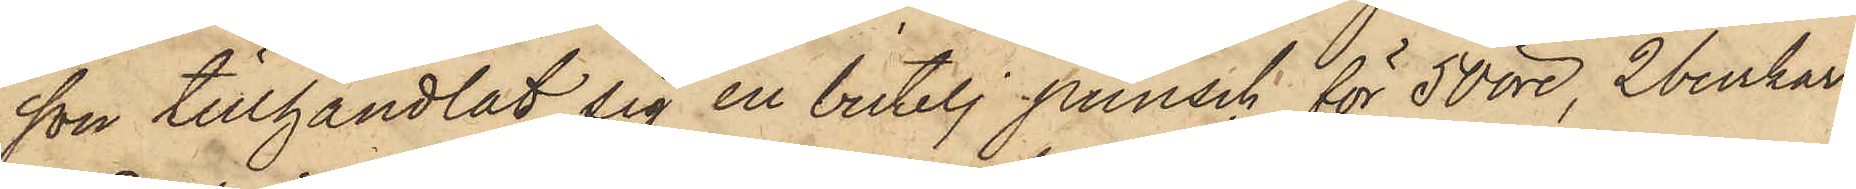son tillhandlat sig en butelj punsch för 50 öre, 2 burkar
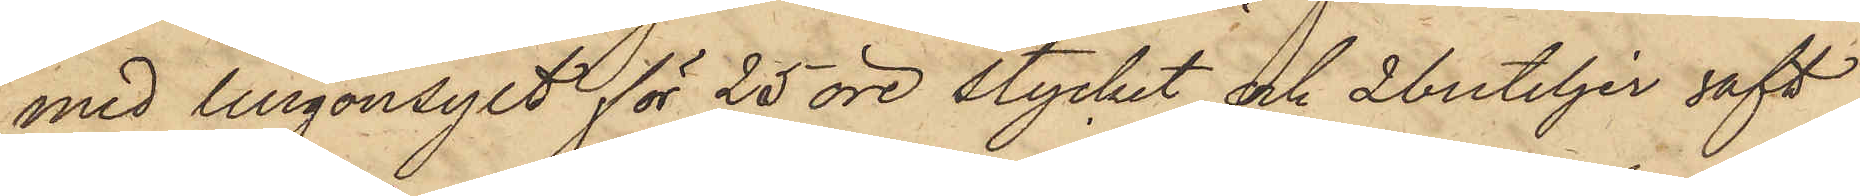med lingonsylt för 25 öre stycket och 2 buteljer saft
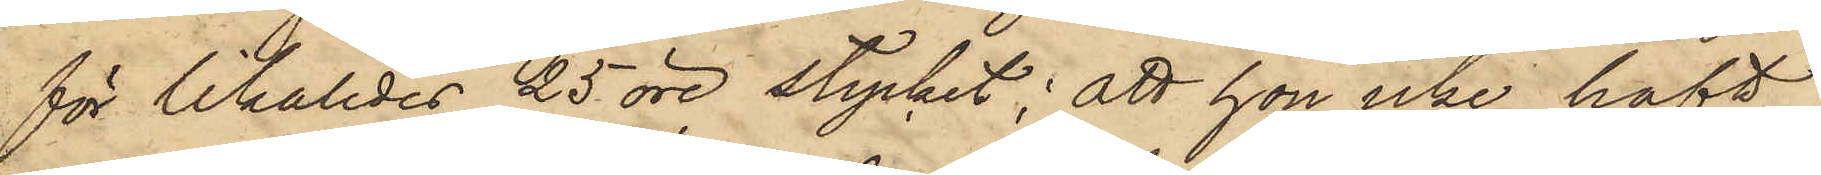för likaledes 25 öre stycket; att hon icke haft
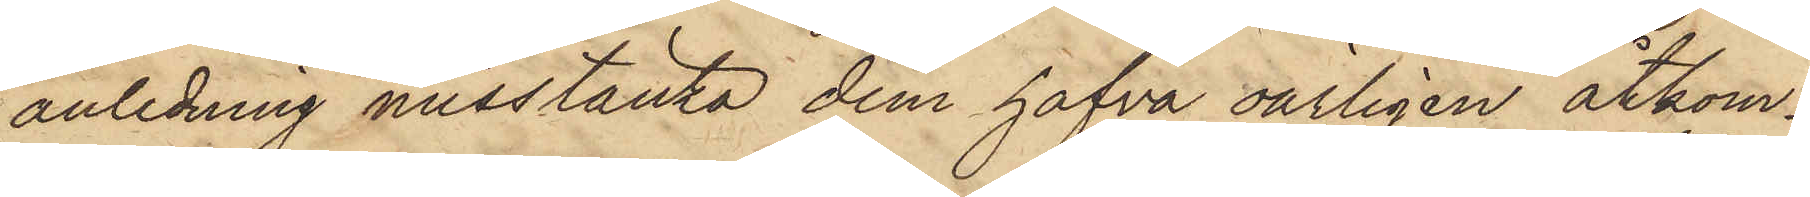anledning misstänka dem hafva oärligen åtkom¬
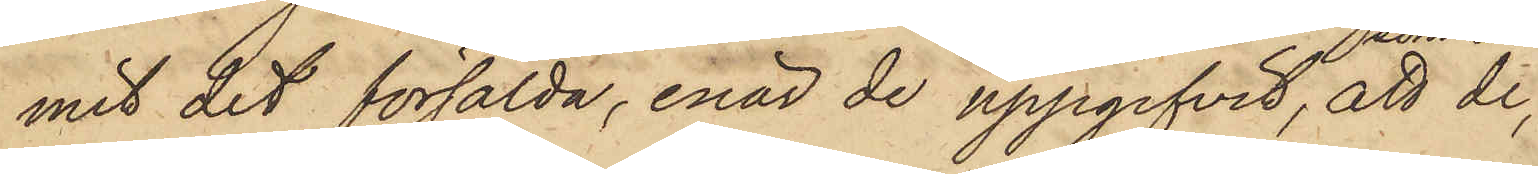mit det försålda, enär de uppgifvit, att de,
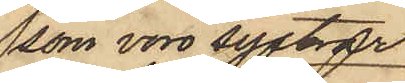som voro systrar
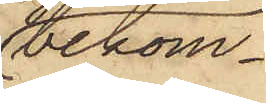bekom¬
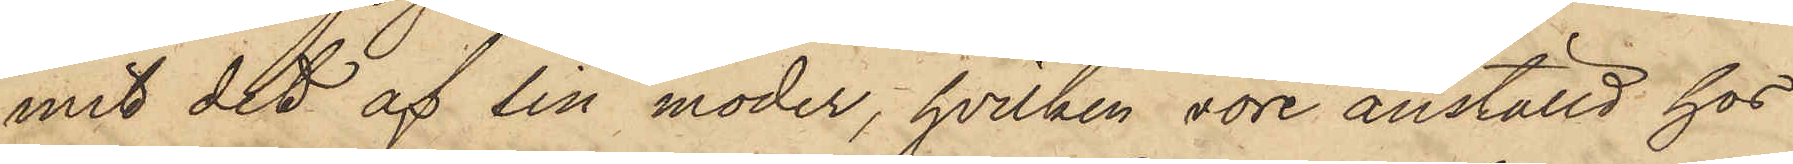mit det af sin moder, hvilken vore anställd hos
